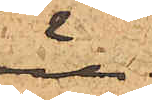öre.
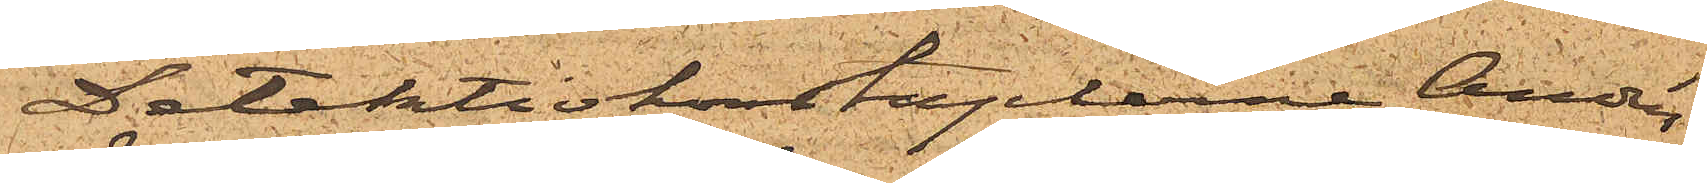Detektivkonstaplarne Andrén,
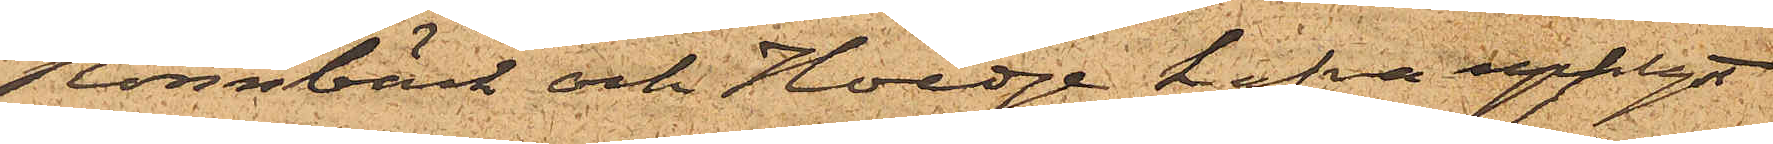Rönnbäck och Hedge hafva upplyst
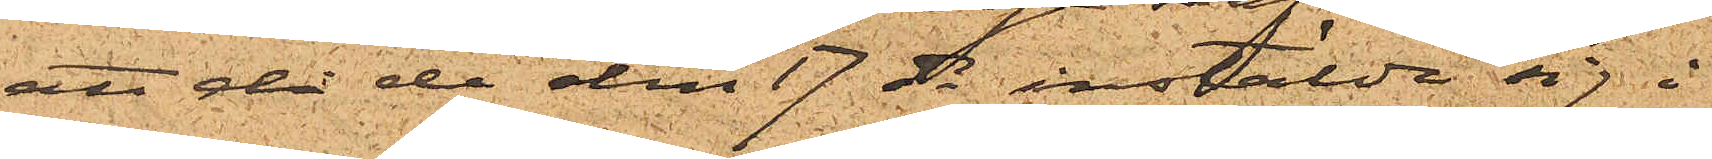att då de den 17 ds instälde sig i
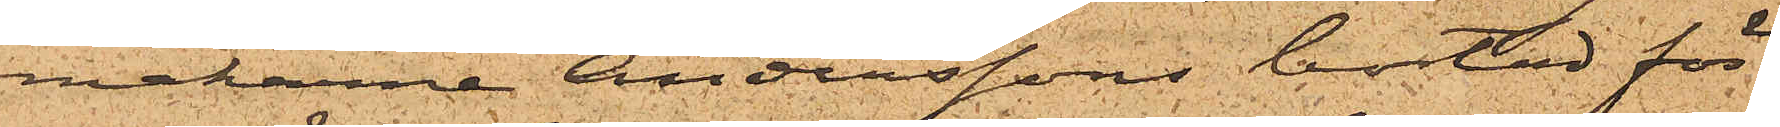makarne Anderssons bostad för
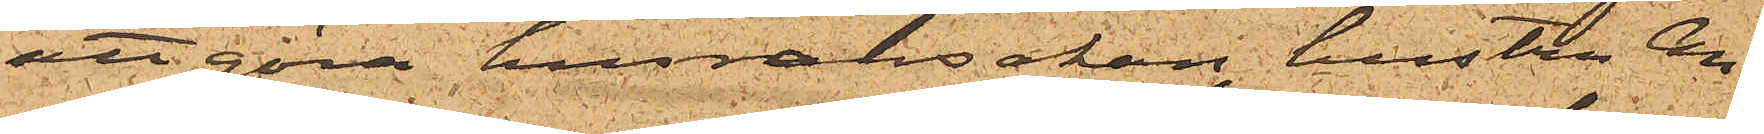att göra husransakan, hustru An¬
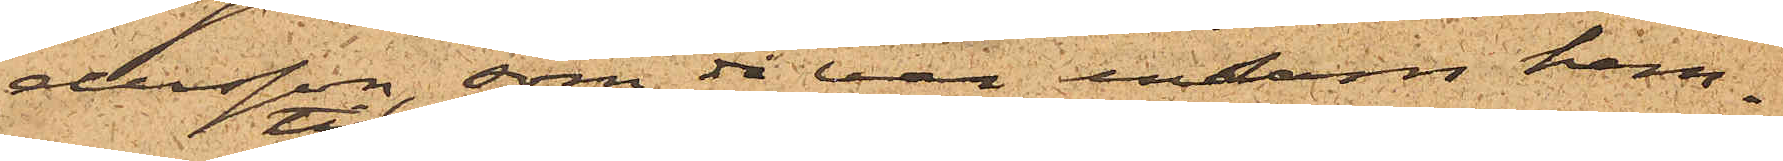dersson, som då var ensam hem¬
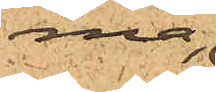ma,
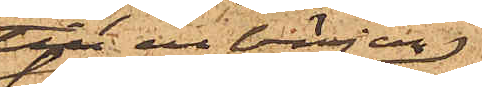till en början
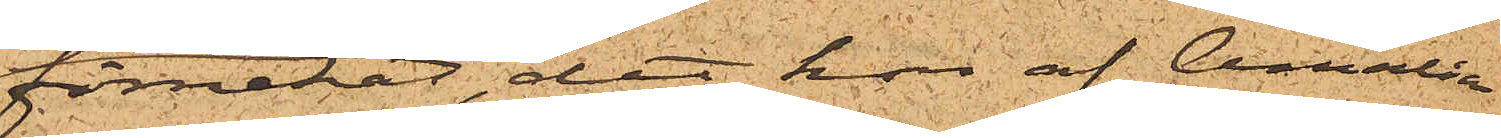förnekat, det hon af Amalia
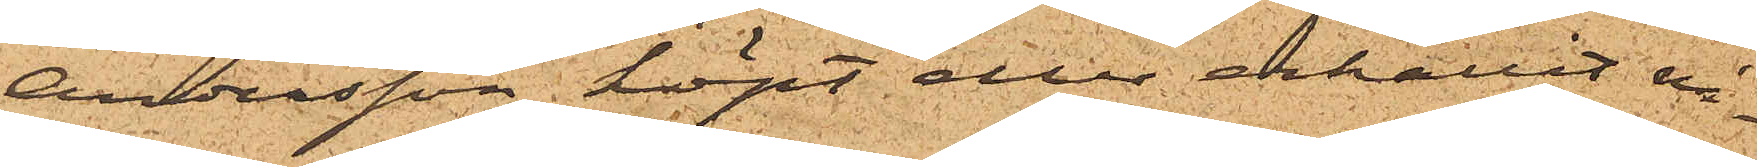Andersson köpt eller erhållit nå¬
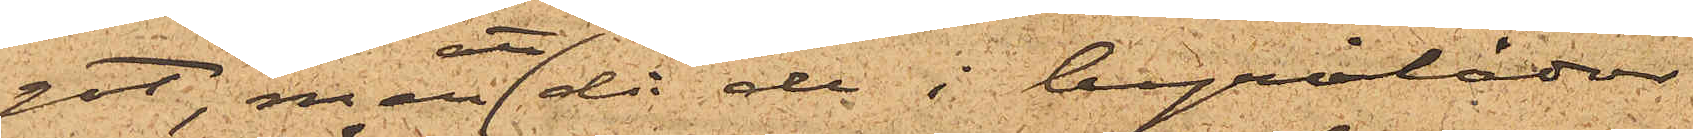got, men att då de i byrålådor
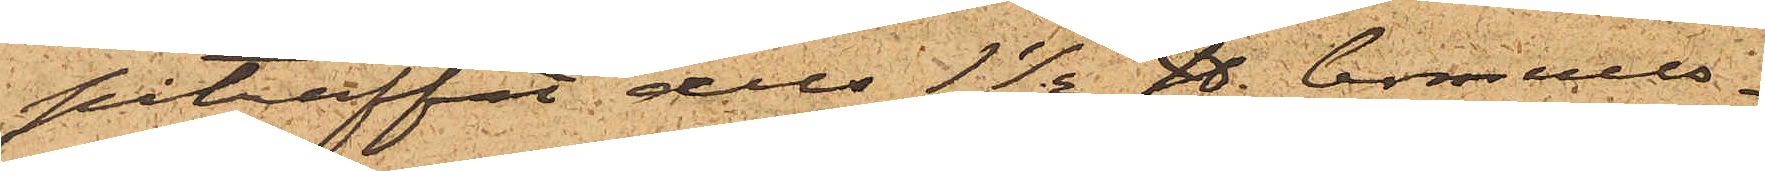påträffat dels 1½ ℔ bomulls¬
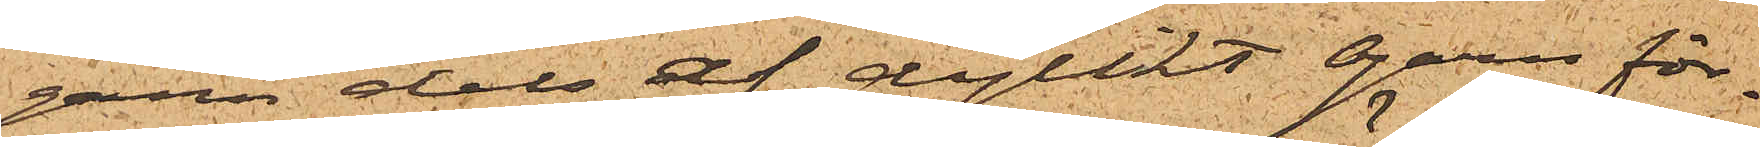garn dels af dylikt garn för¬
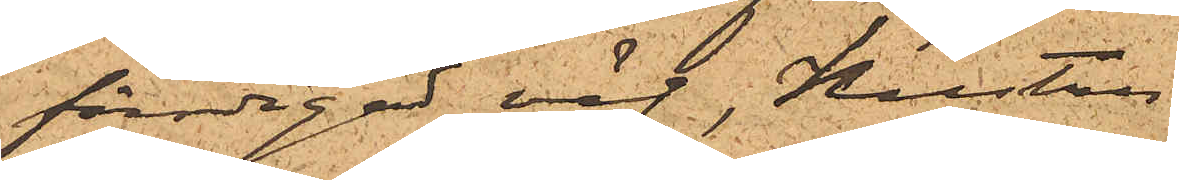färdigad väv, Hustru
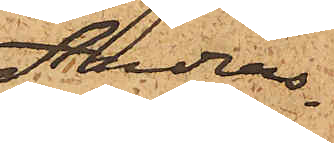Anders¬
